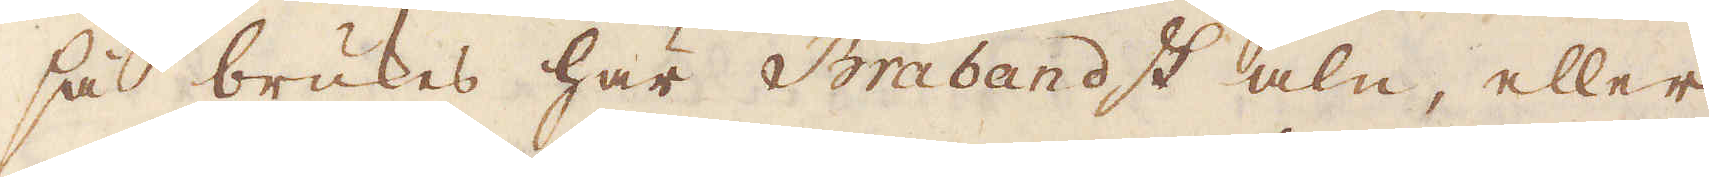så brukes här i Brabandt aln, eller
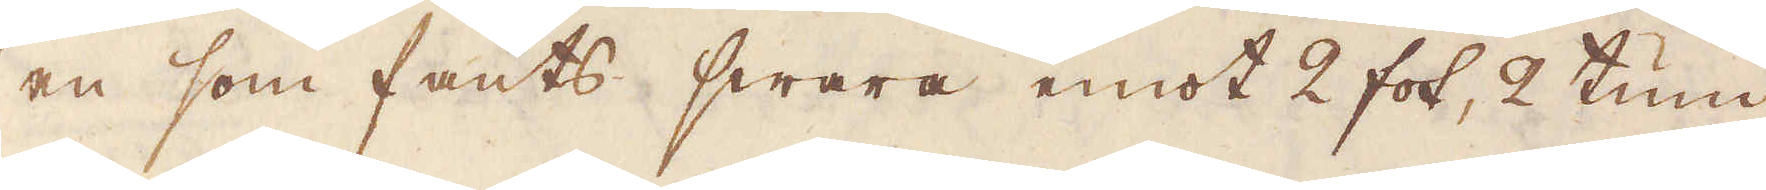en som fants swara emot 2 fot, 2 tum
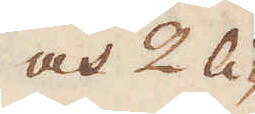och 2 li-
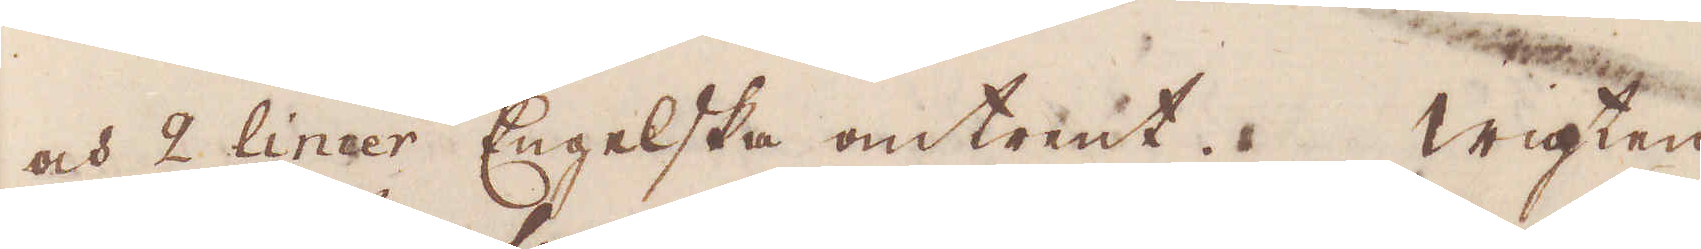och 2 linier Engelska omtrent. Wigten
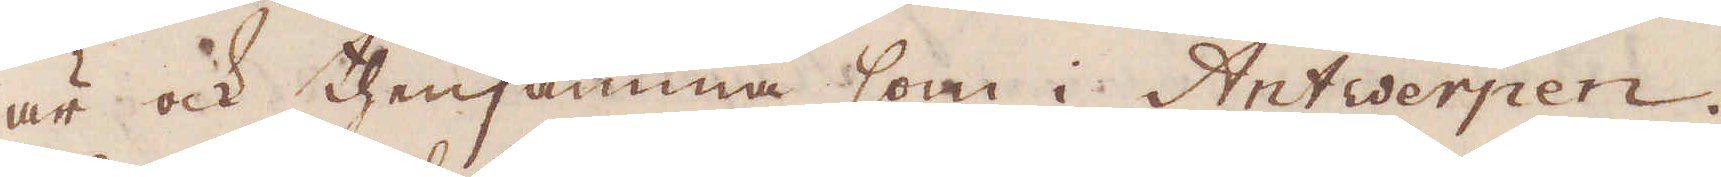är ock thensamma som i Antwerpen.
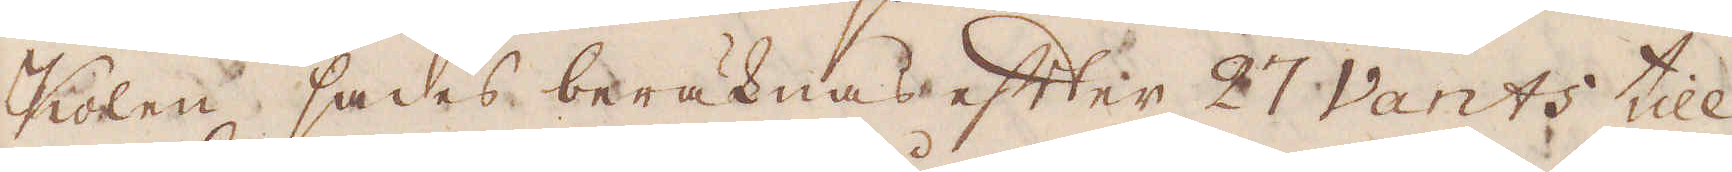Kolen sades beräknas efter 27 Vants till
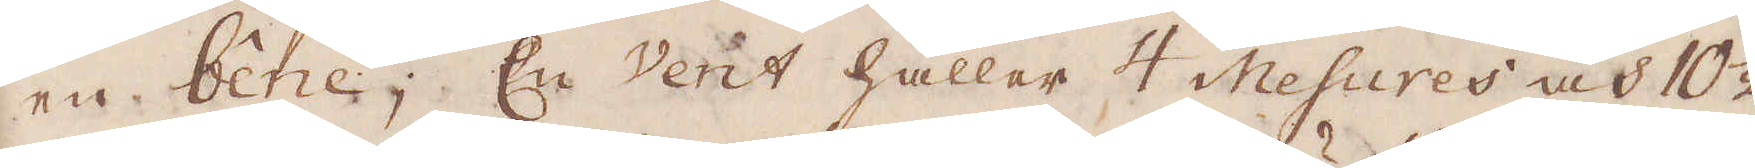en bene; En Vent håller 4 Mesures och 10 1/2
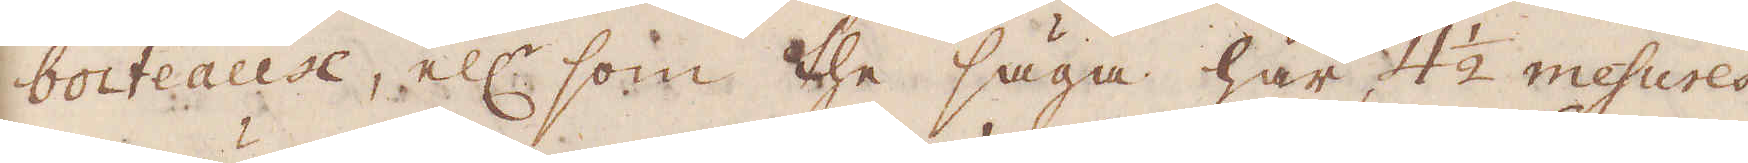boiteause, ell:r som the säga här 4 1/2 mesures
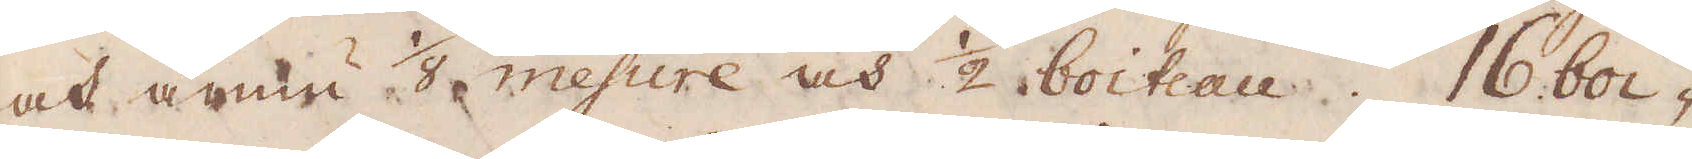och ännu 1/8 mesure och 1/2 boiteau. 16 boi-
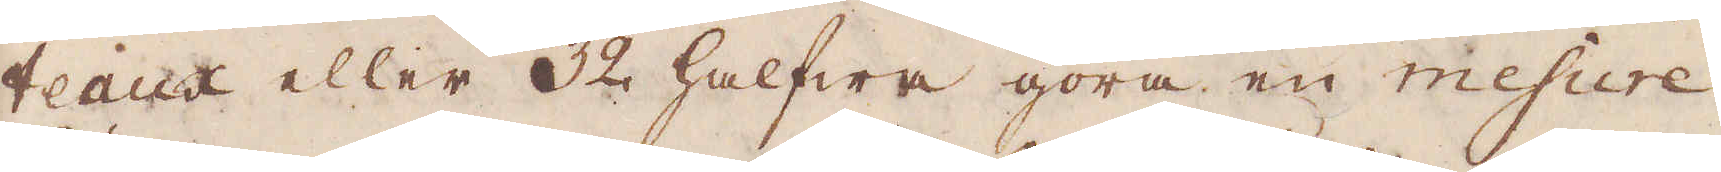teaux eller 32 halfwa göra en mesure.
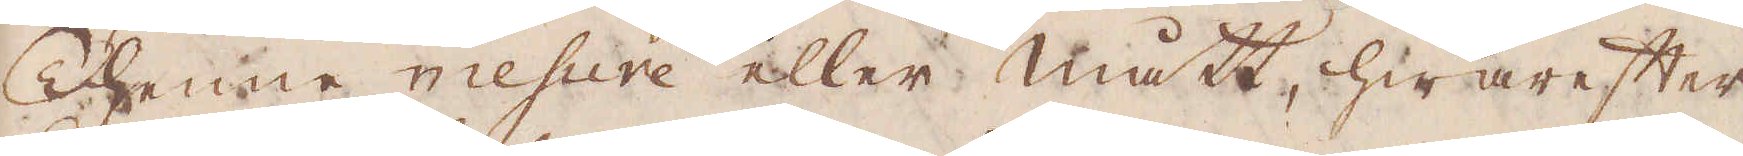Thenne mesure eller mått, hwarefter
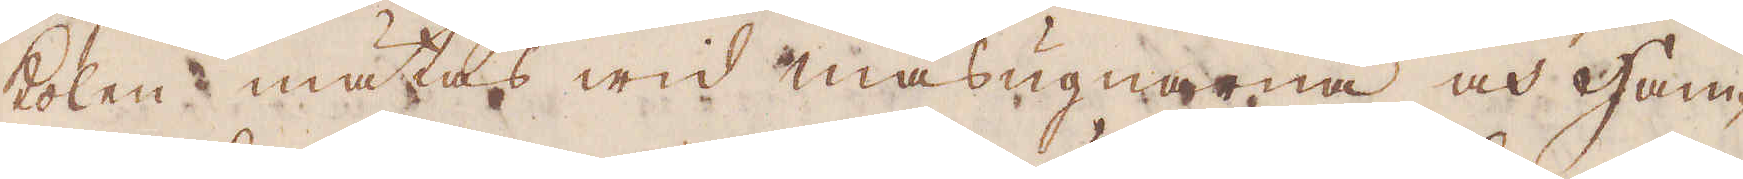kolen mätas wid masugnarne och Ham-
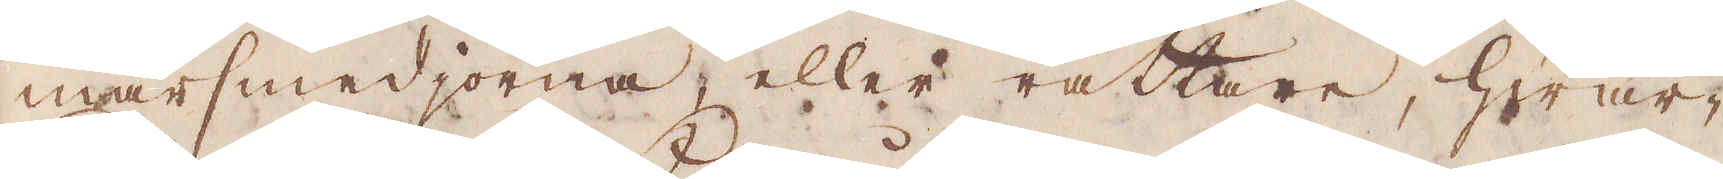marsmedjorna, eller rättare, hwar-
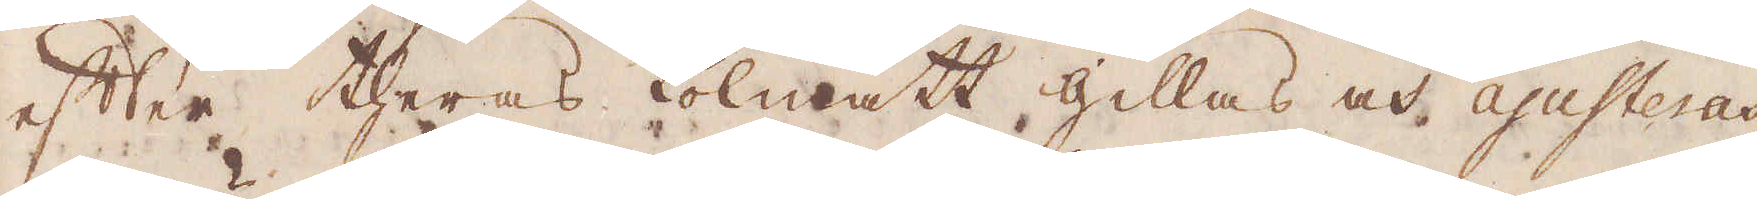efter theras kolmått gillas och ajusteras,
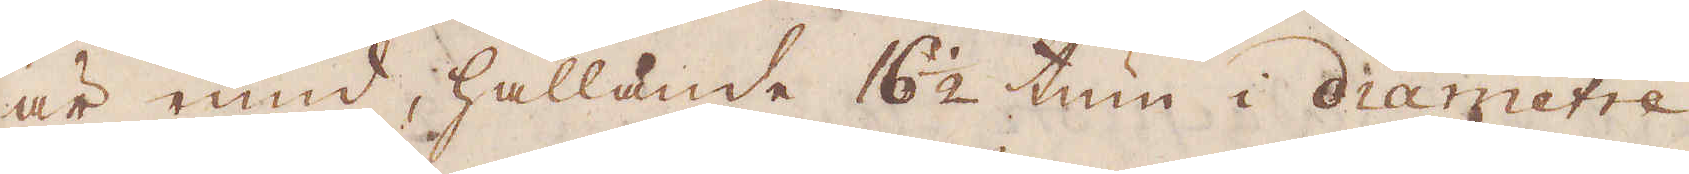är rund, hållande 16 1/2 tum i diametre,
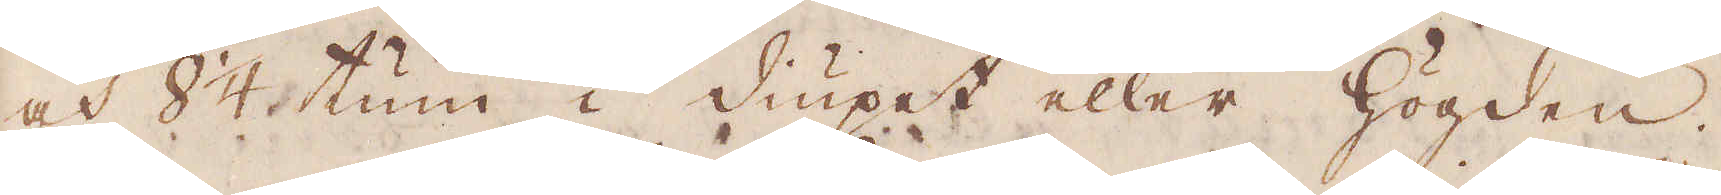och 8 1/4 tum i diupet eller högden
